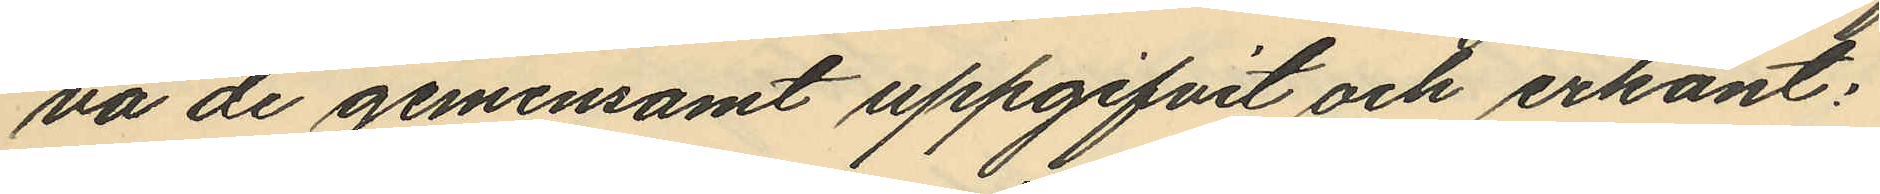va de gemensamt uppgifvit och erkänt:
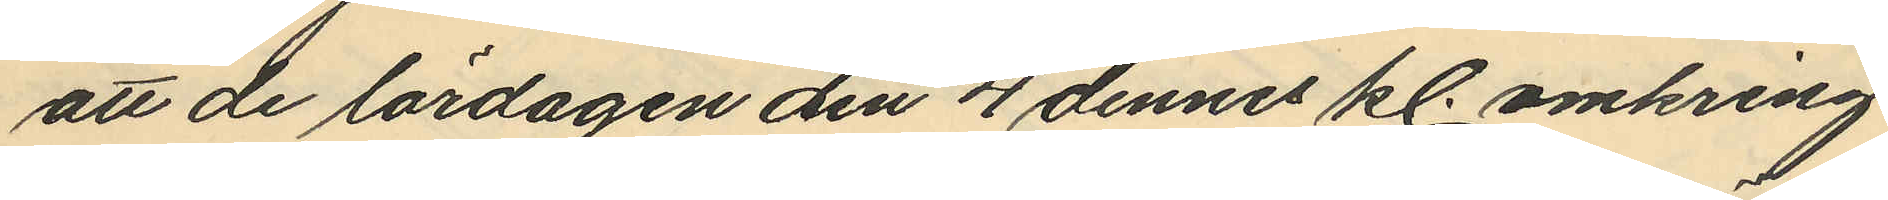att de lördagen den 4 dennes kl. omkring
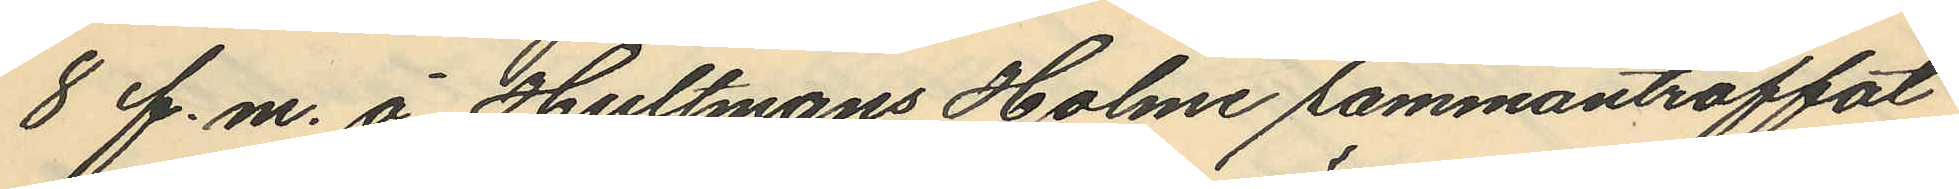8 f.m. å Hultmans Holme sammanträffat
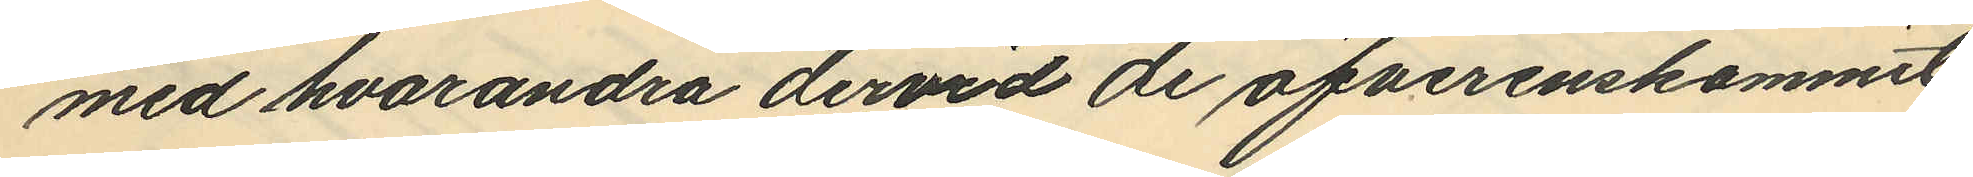med hvarandra dervid de öfverenskommit
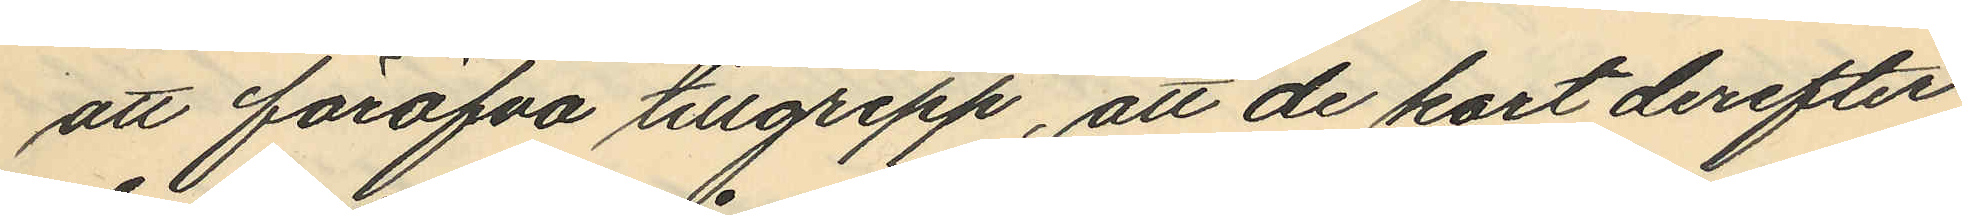att föröfva tillgrepp, att de kort derefter
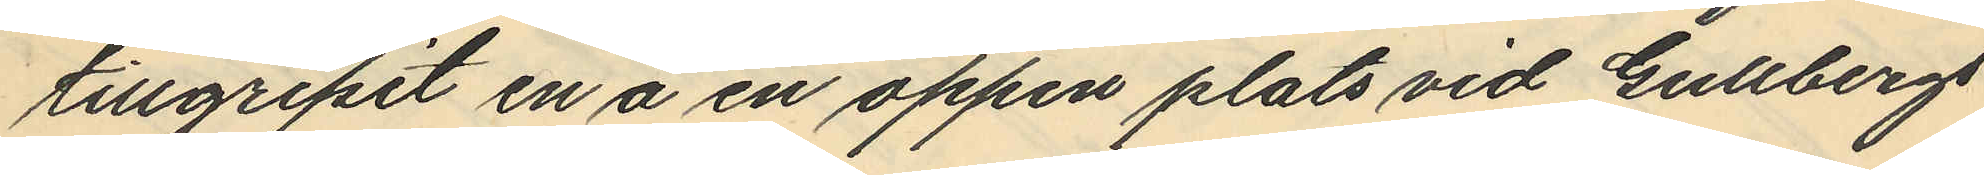tillgripit en å en öppen plats vid Gullbergs
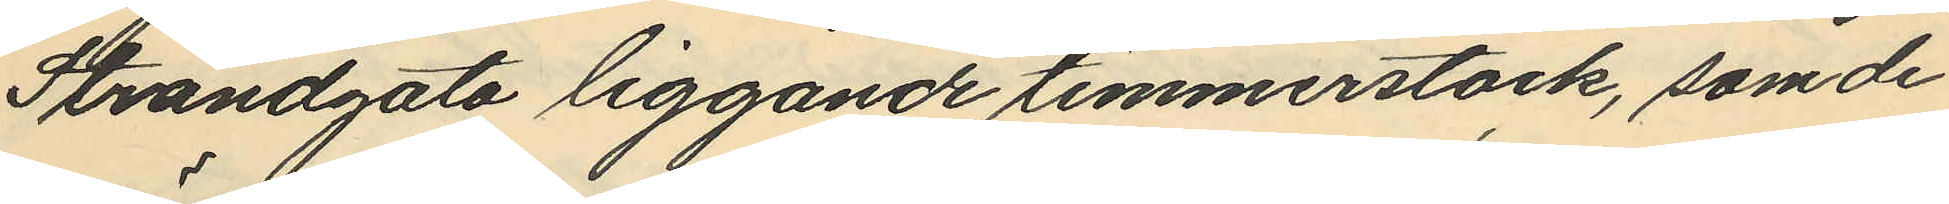Strandgata liggande timmerstock, som de
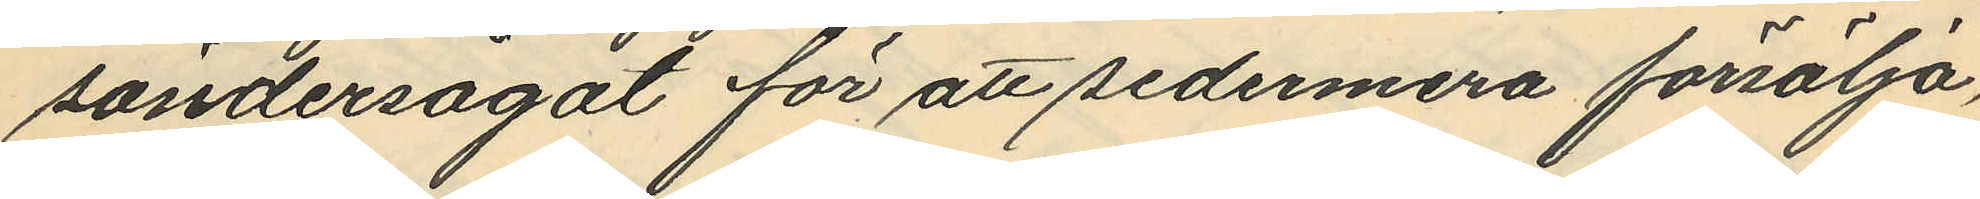söndersågat för att sedermera försälja,
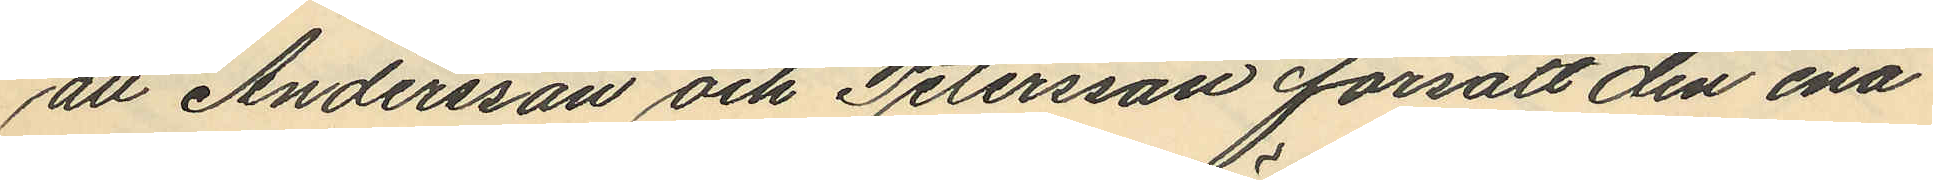att Andersson och Petersson försålt den ena
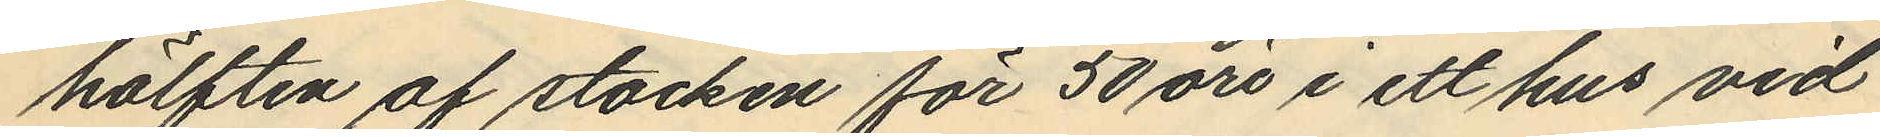hälften af stocken för 50 öre i ett hus vid
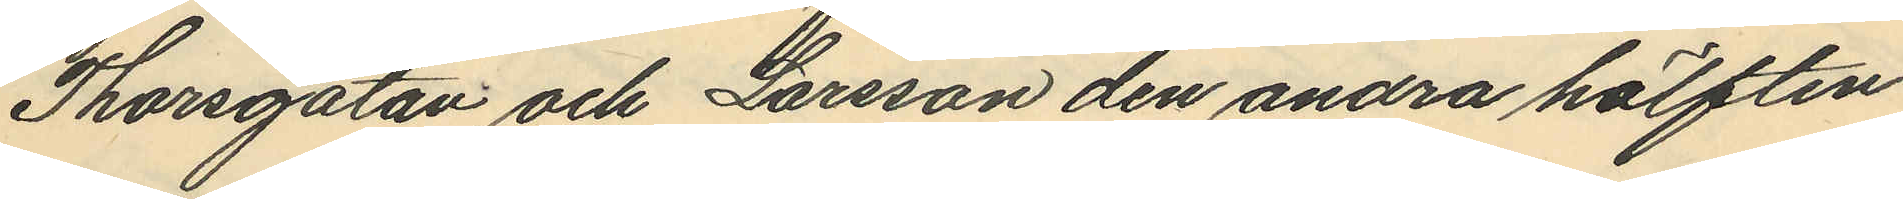Thorsgatan och Larsson den andra hälften
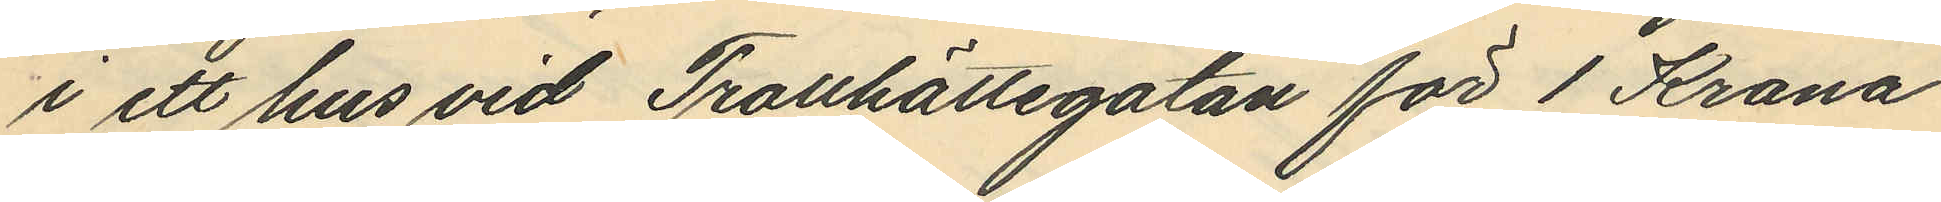i ett hus vid Trollhättegatan för 1 Krona
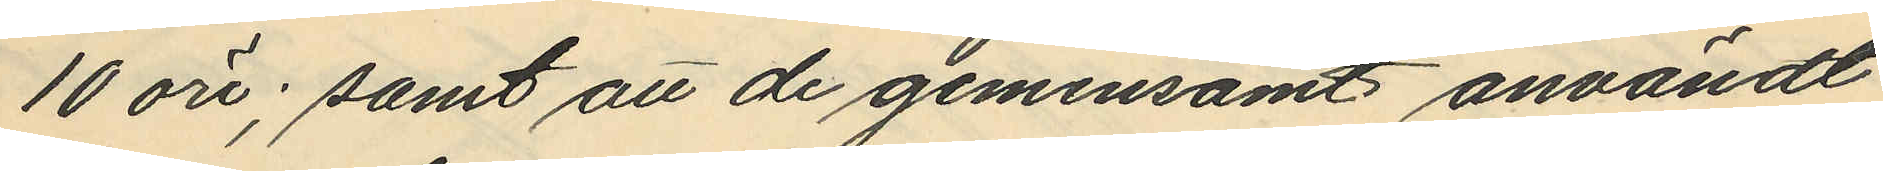10 öre; samt att de gemensamt användt
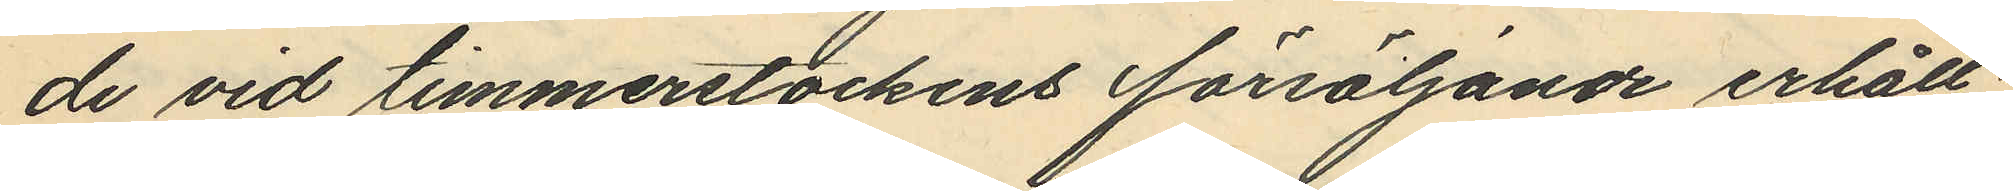de vid timmerstockens försäljande erhåll¬
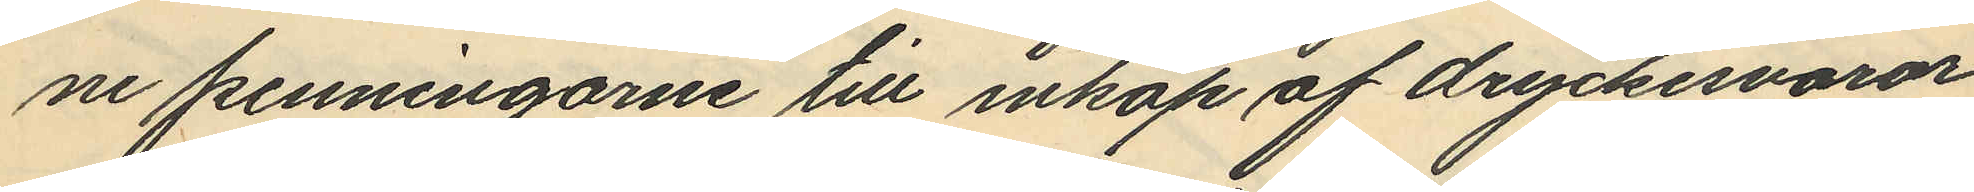ne penningarne till inköp af dryckesvaror
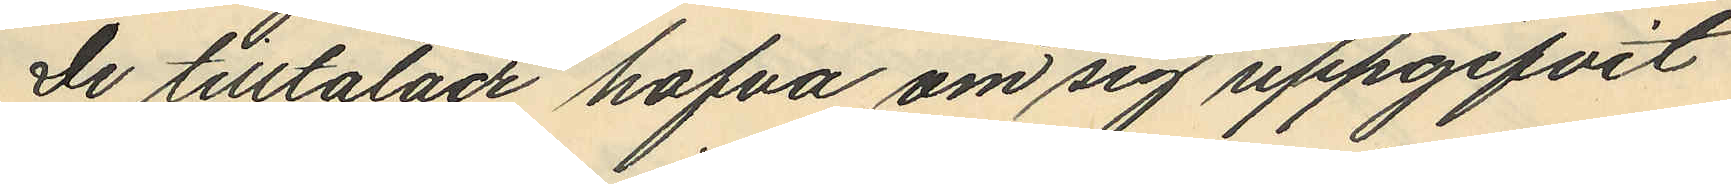De tilltalade hafva om sig uppgifvit
